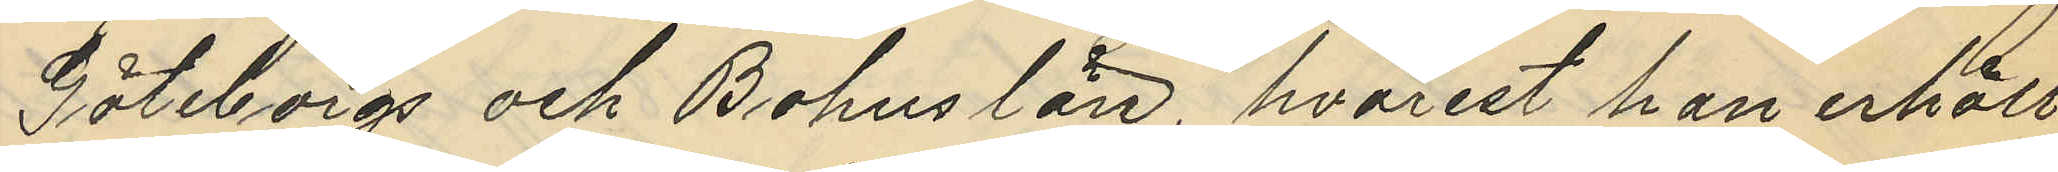Göteborgs och Bohus län, hvarest han erhöll
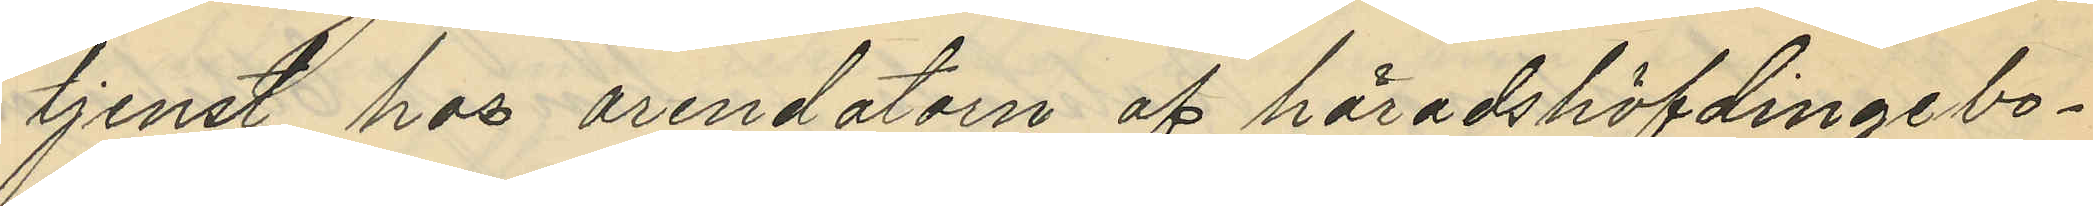tjenst hos arendatorn af häradshöfdingebo¬
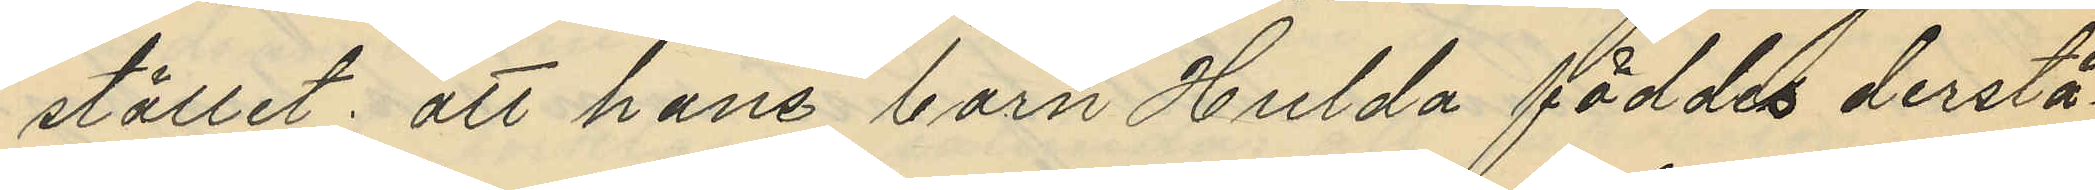stället; att hans barn Hulda föddes derstä¬
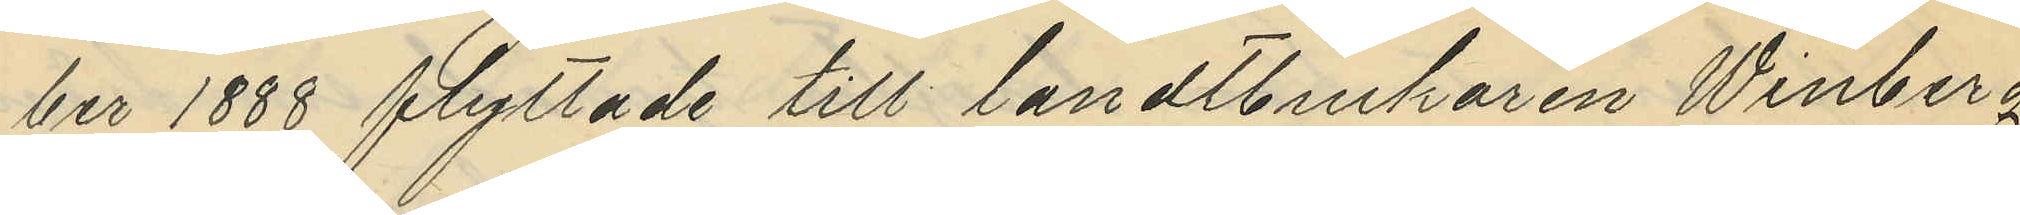ber 1888 flyttade till landtbrukaren Winberg
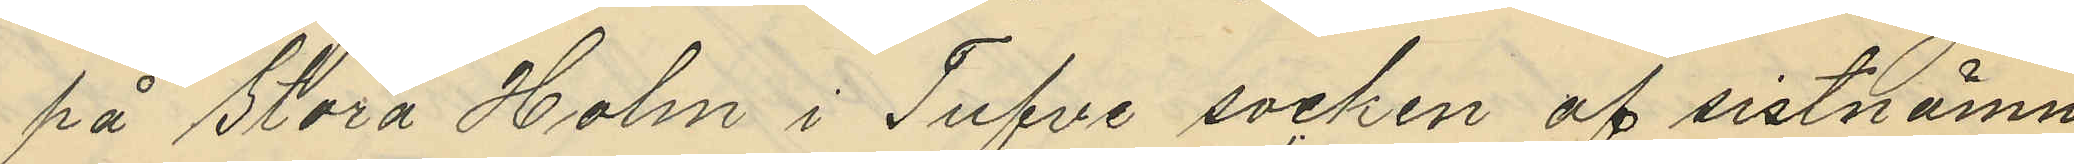på Stora Holm i Tufve socken af sistnämn¬
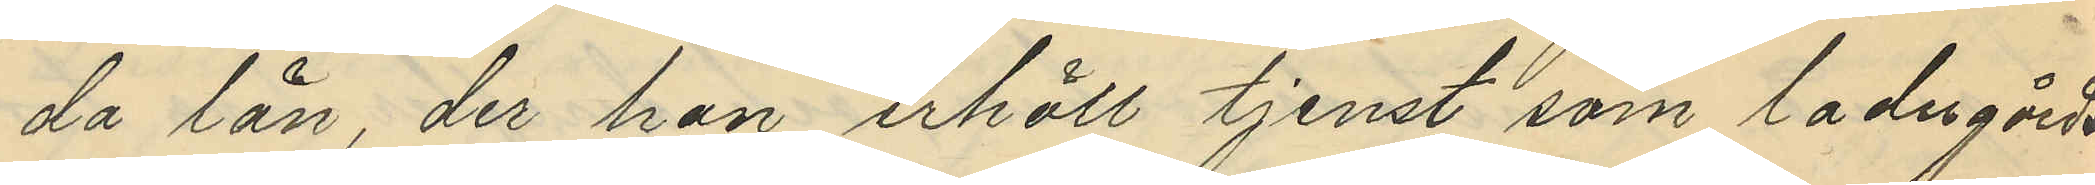da län, der han erhöll tjenst som ladugårds¬
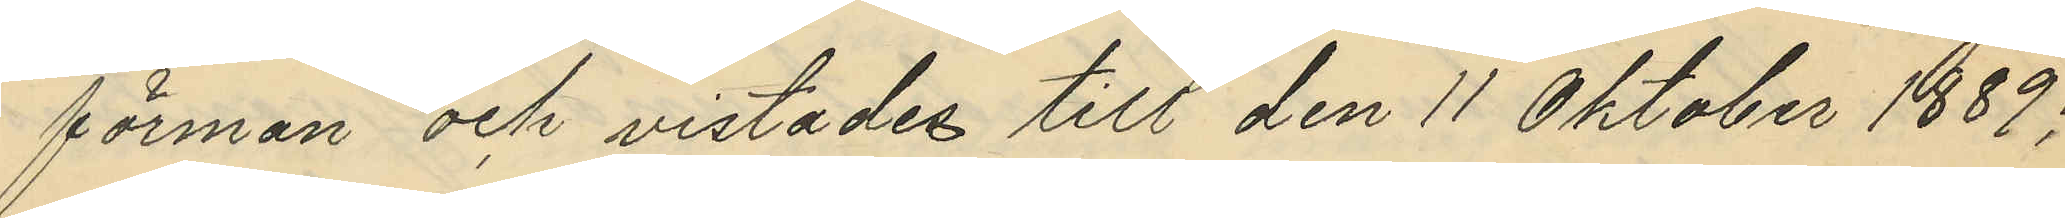förman och vistades till den 11 Oktober 1889;
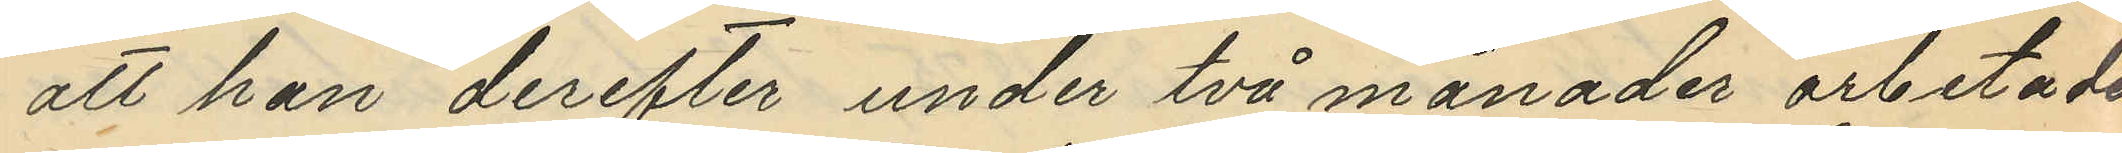att han derefter under två månader arbetade
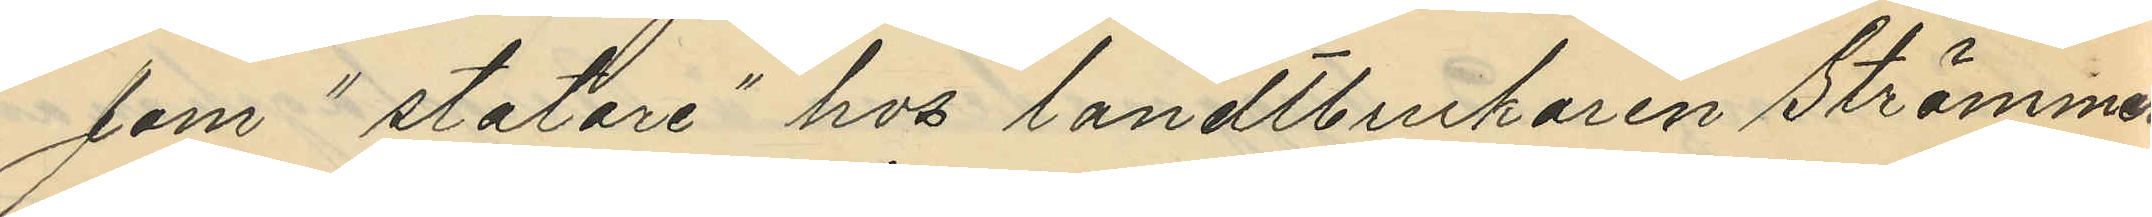som "statare" hos landtbrukaren Strömmer
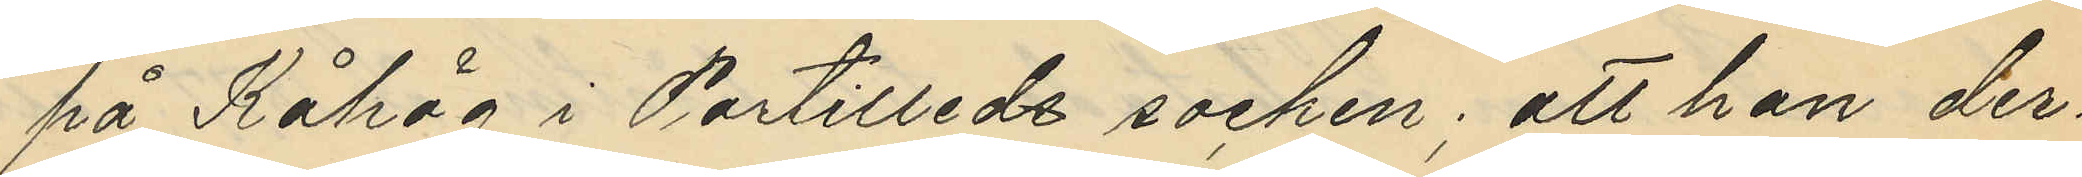på Kåhög i Partilleds socken; att han der¬
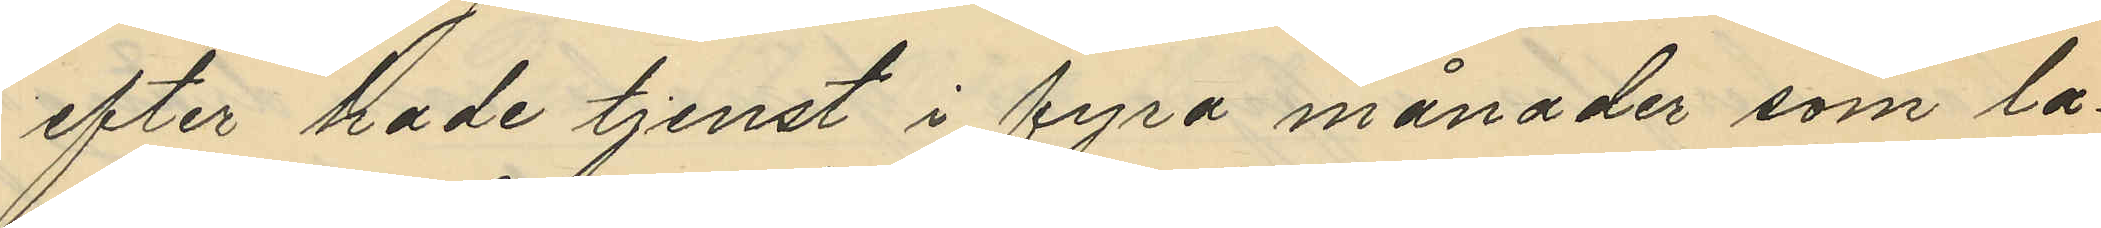efter hade tjenst i fyra månader som la¬
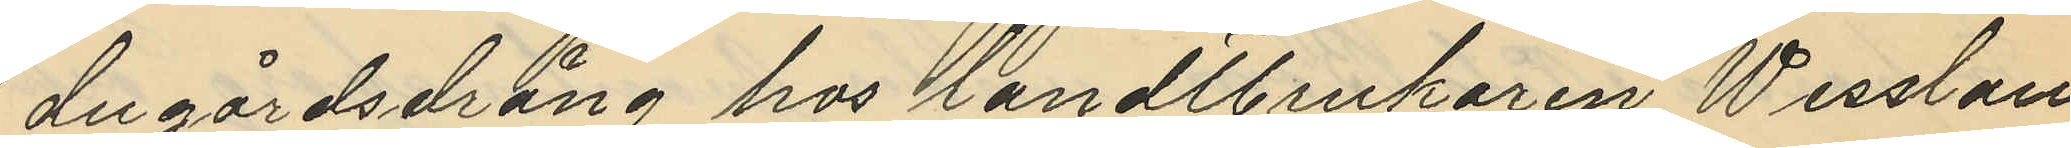dugårdsdräng hos landtbrukaren Wesslau
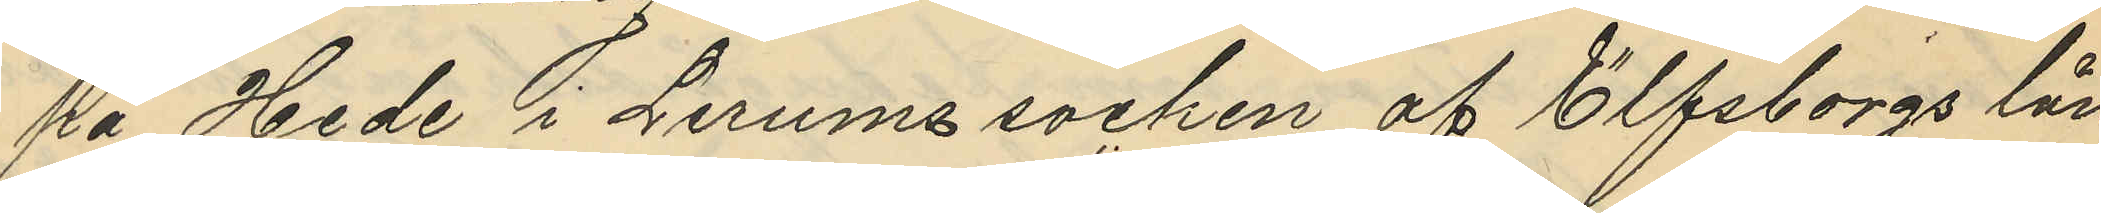på Hede i Lerums socken af Elfsborgs län;
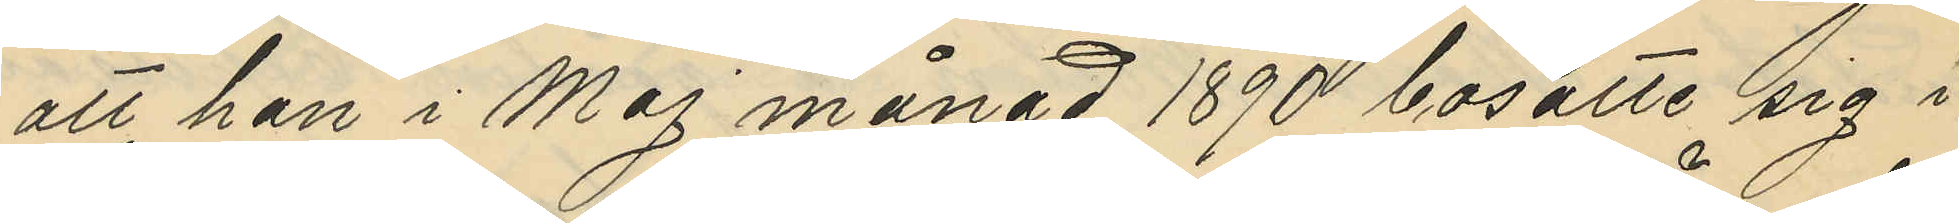att han i Maj månad 1890 bosatte sig i
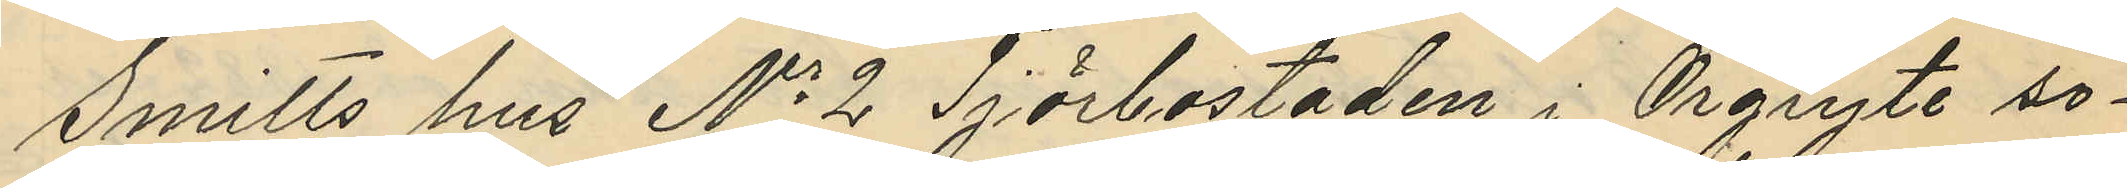Smitts hus No 2, Tjörbostaden i Örgryte so¬
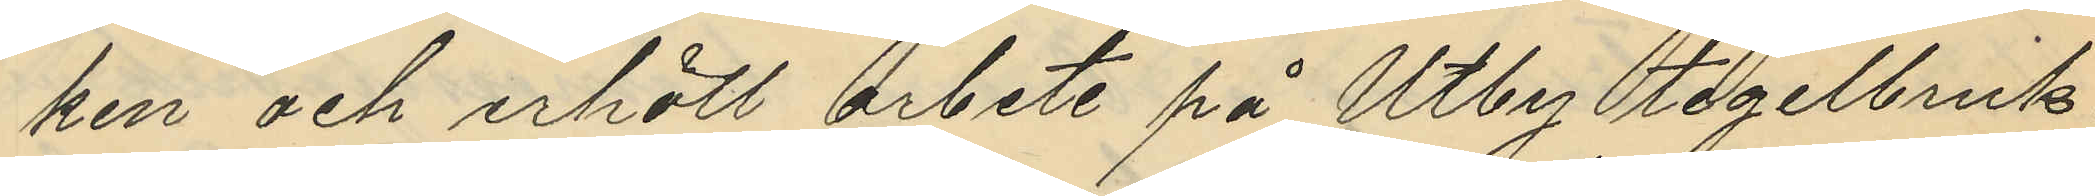ken och erhöll arbete på Utby tegelbruk;
